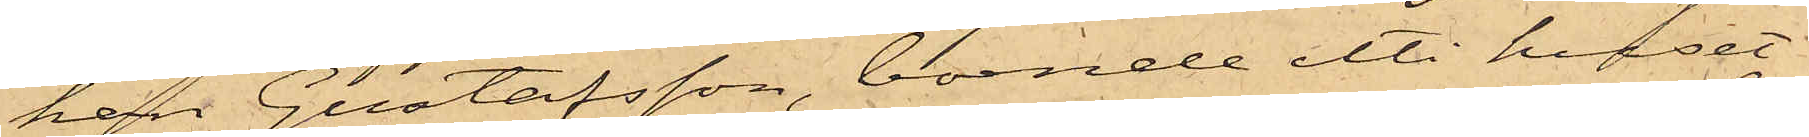han Gustafsson, boende uti huset
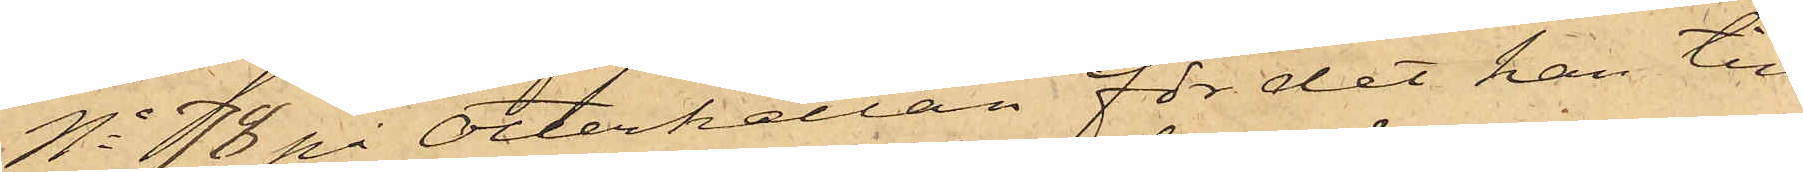No 78 på Otterhällan för det han till
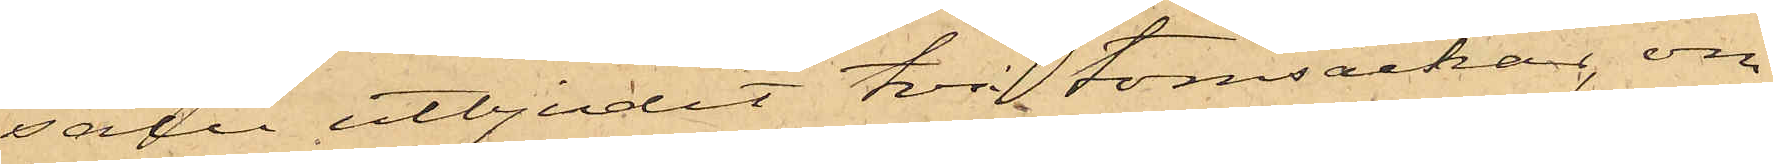salu utbjudit två tomsäckar, om
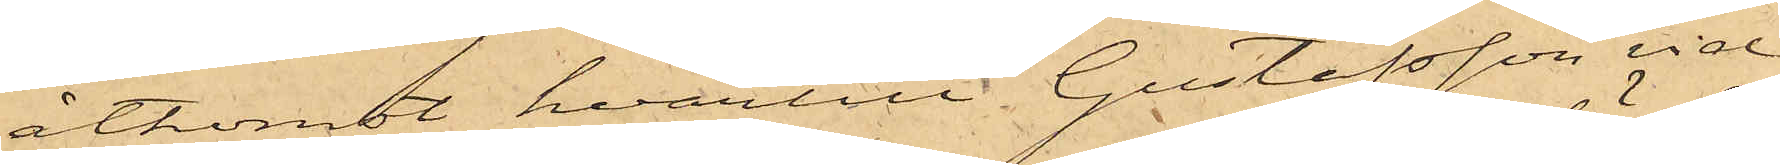åtkomst hvartill Gustafsson vid
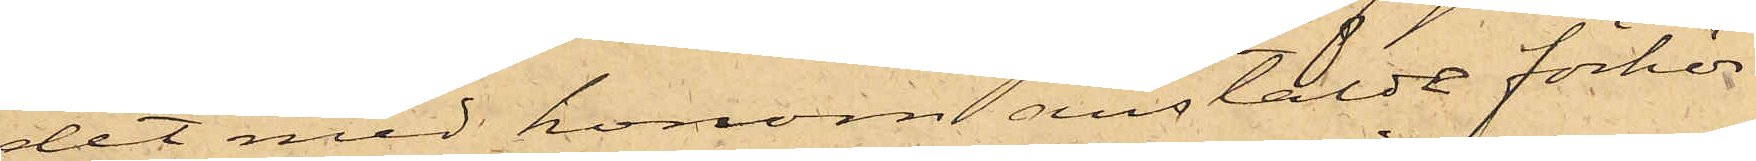det med honom anstäldt förhör
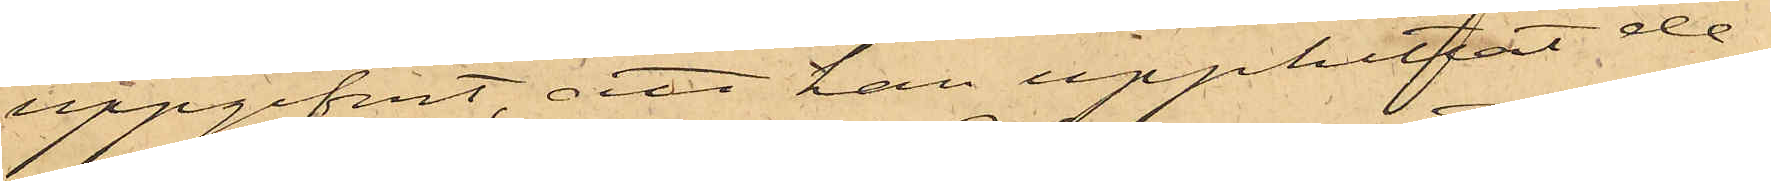uppgifvit, att han upphittat de¬
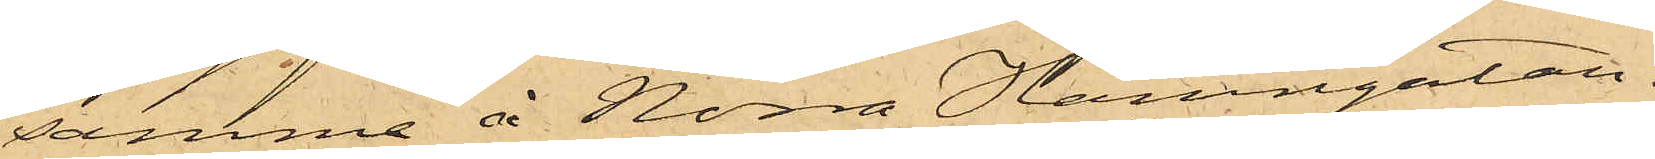samma å Norra Hamngatan.
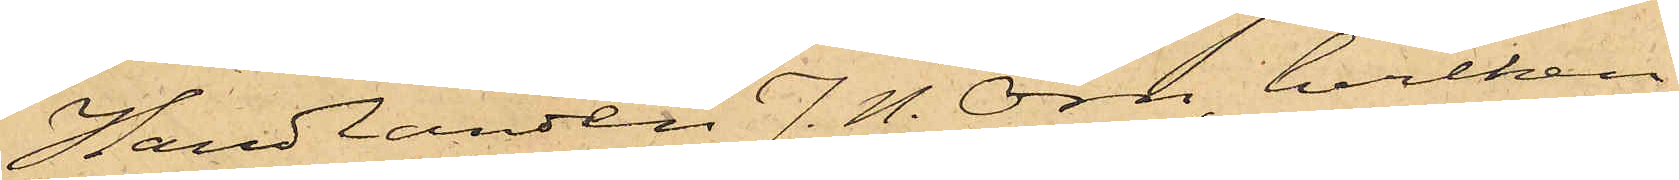Handlanden J. N. Örn, hvilken
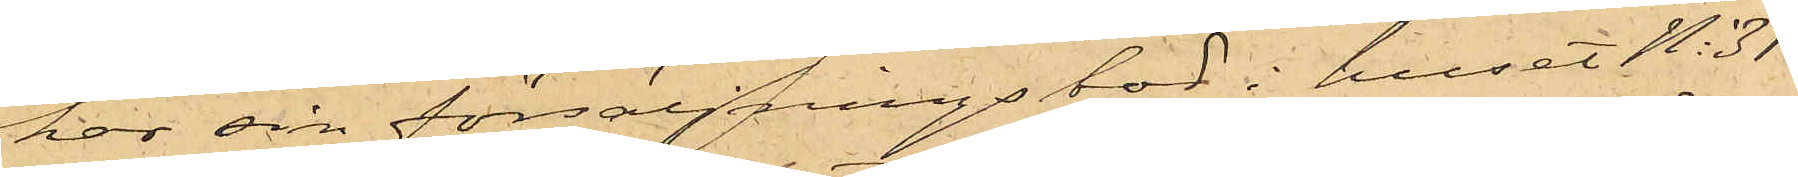har sin försäljningsbod i huset No 31
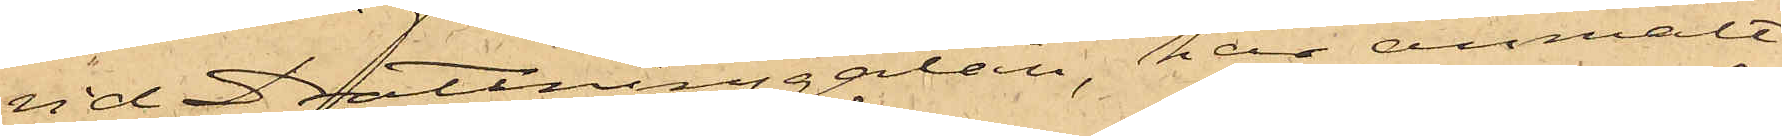vid Drottninggatan, har anmält
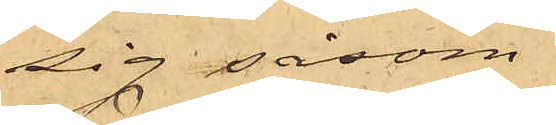sig såsom
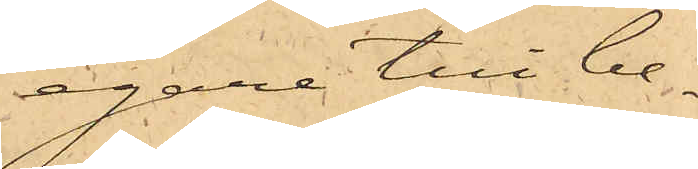egare till be¬
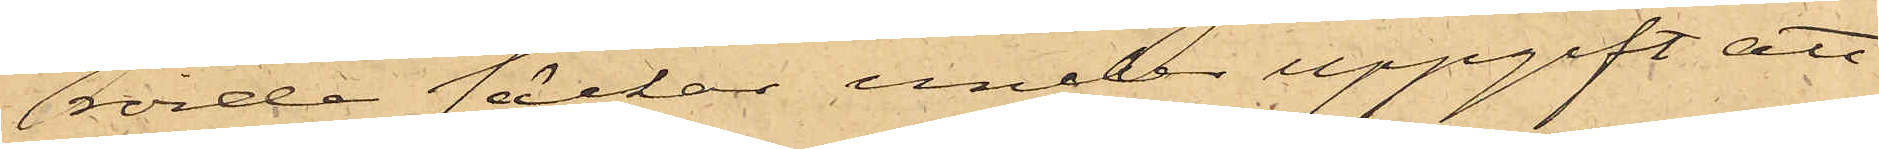rörde säckar under uppgift att
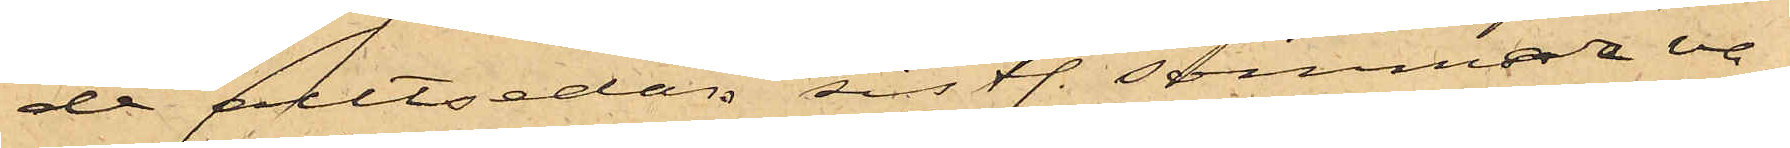de alltsedan sistl. sommar va¬
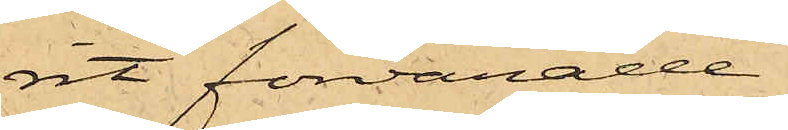rit förvarade
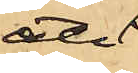uti 
